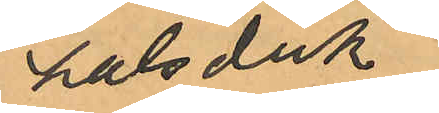halsduk
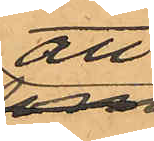att
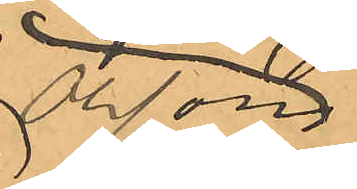Olsson
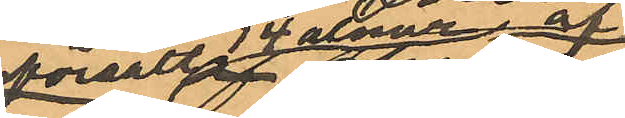försålt 4 alnar af
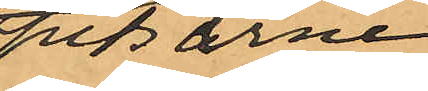spetsarne
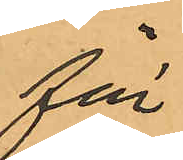för
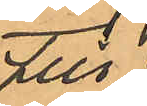till
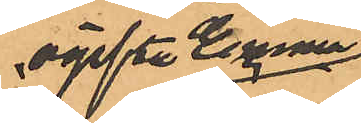ogifta Emma
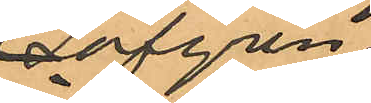Löfgren
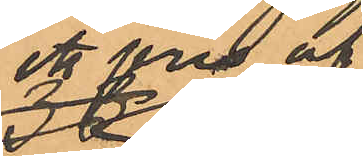ett pris af
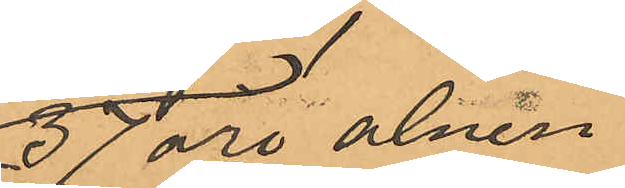37 öre alnen
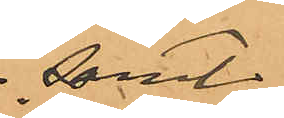samt
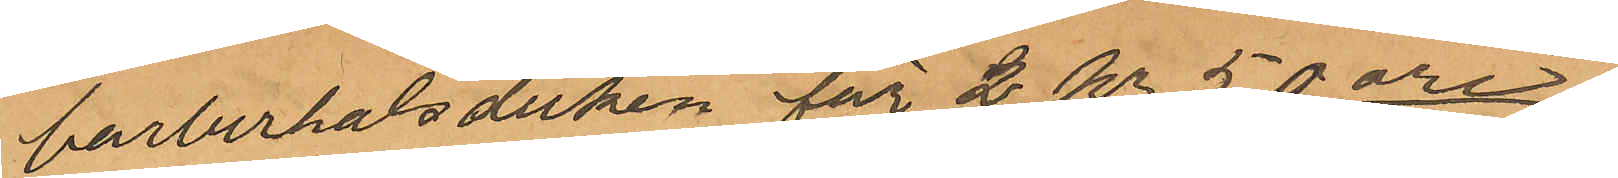barberhalsduken för 2 Kr 50 öre.
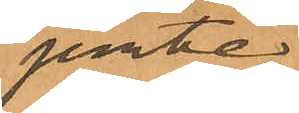jemte
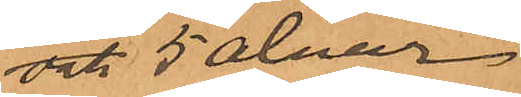vät 5 alnar
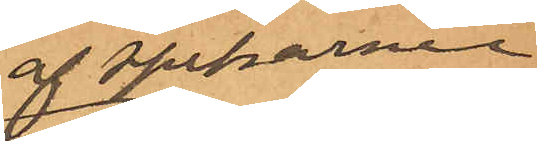af spetsarne
